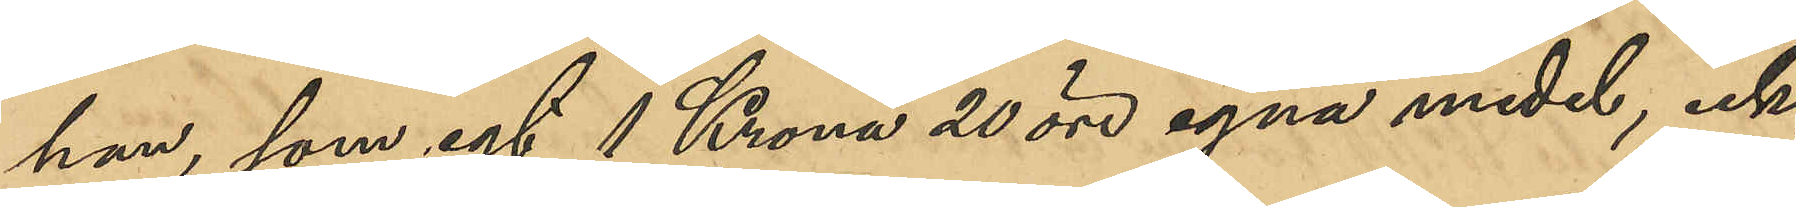han, som egt 1 Krona 20 öre egna medel, icke
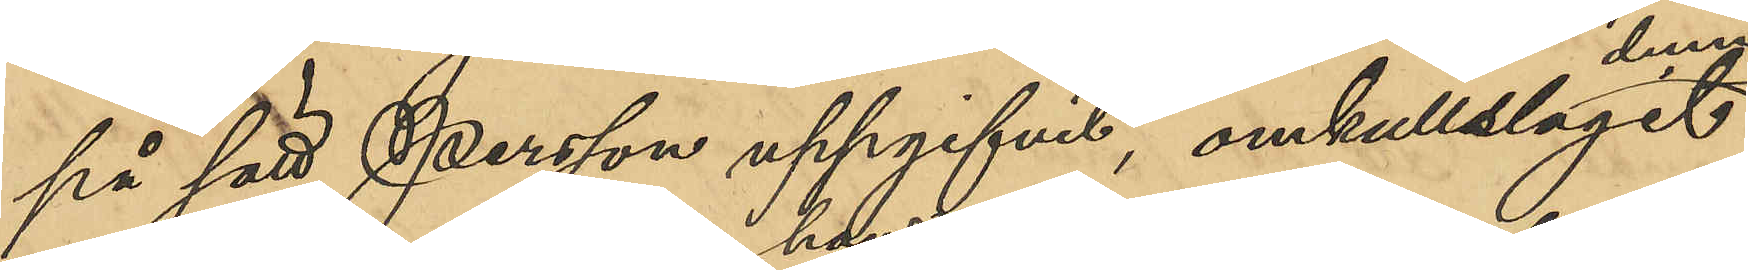på sätt Persson uppgifvit, omkullslagit denne
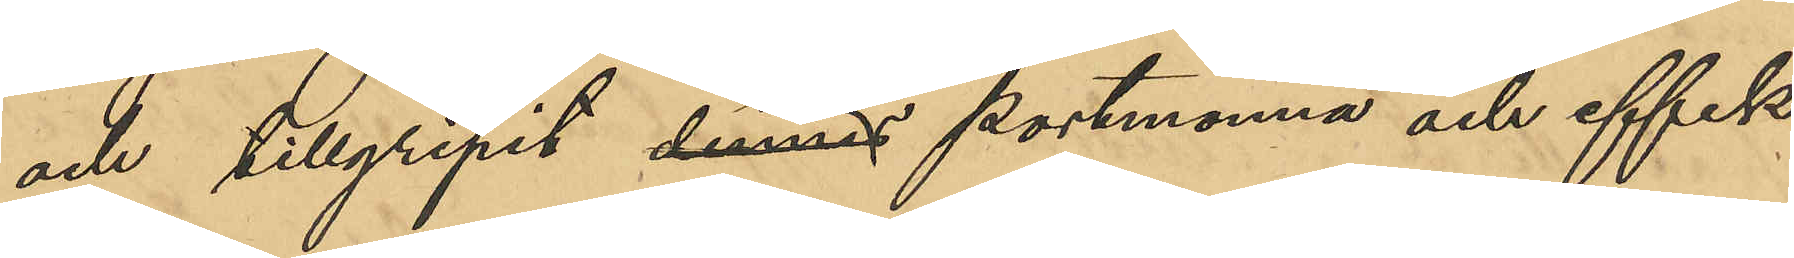och tillgripit dennes hans portmonnä och effek¬
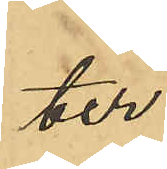ter.
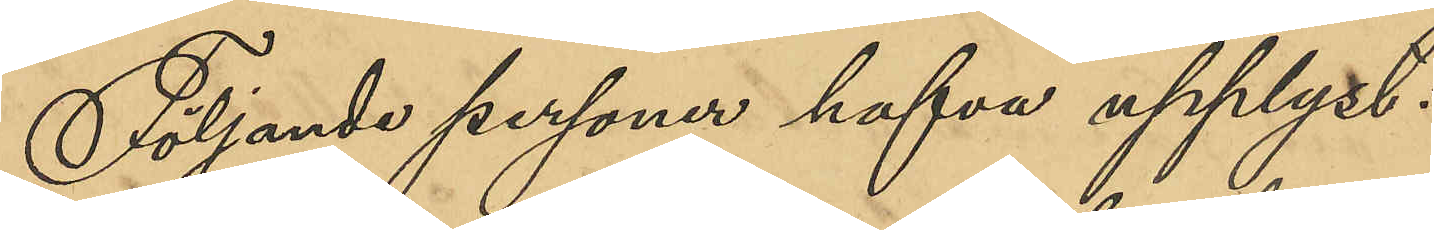Följande personer hafva upplyst:
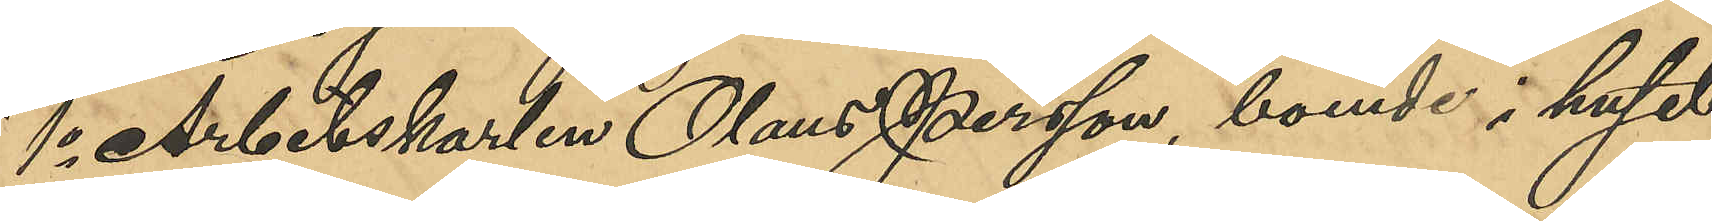1o Arbetskarlen Olaus Persson, boende i huset
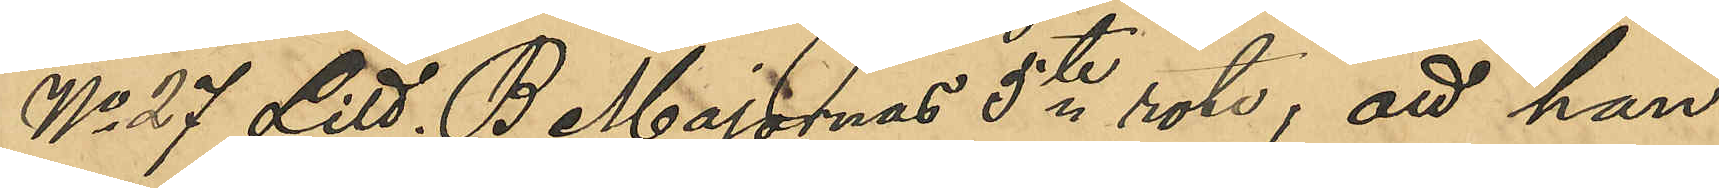No 27 Litt. B Majornas 5te rote; att han
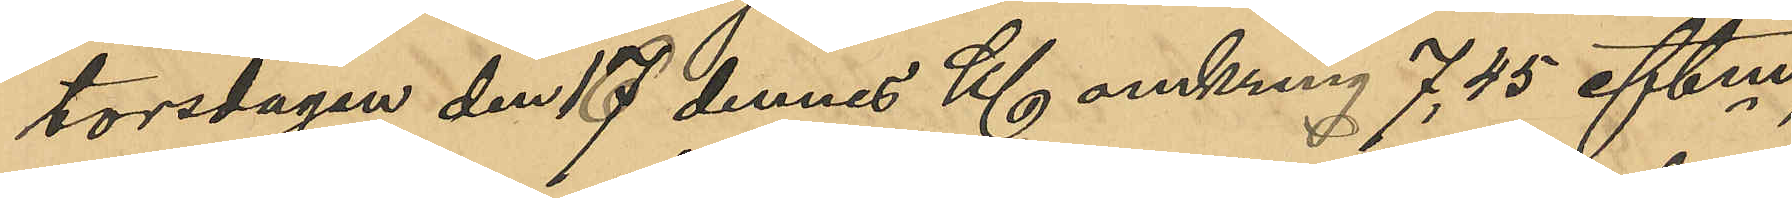torsdagen den 17 dennes Kl omkring 7,45 eftm,
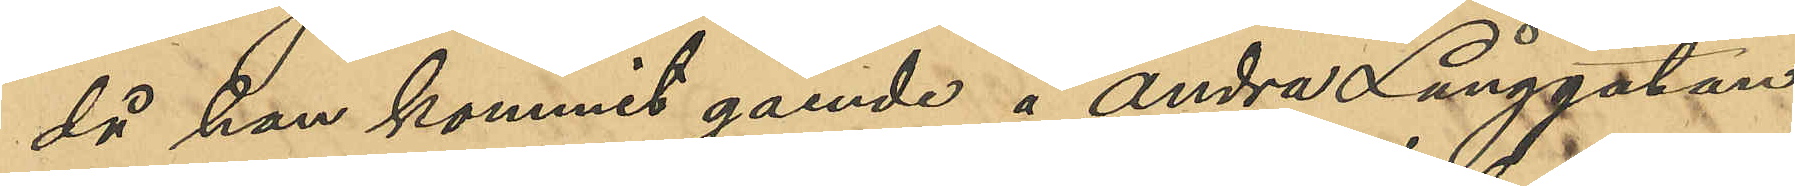då han kommit gående å Andra Långgatan,
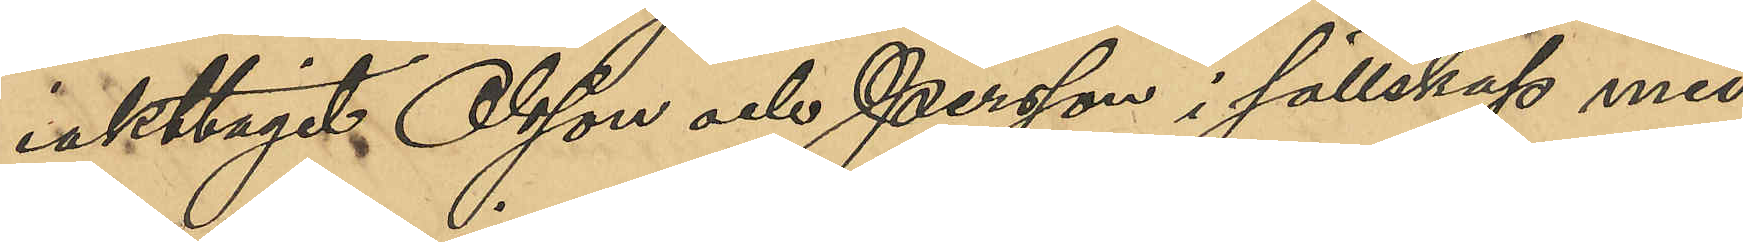iakttagit Olsson och Persson i sällskap med
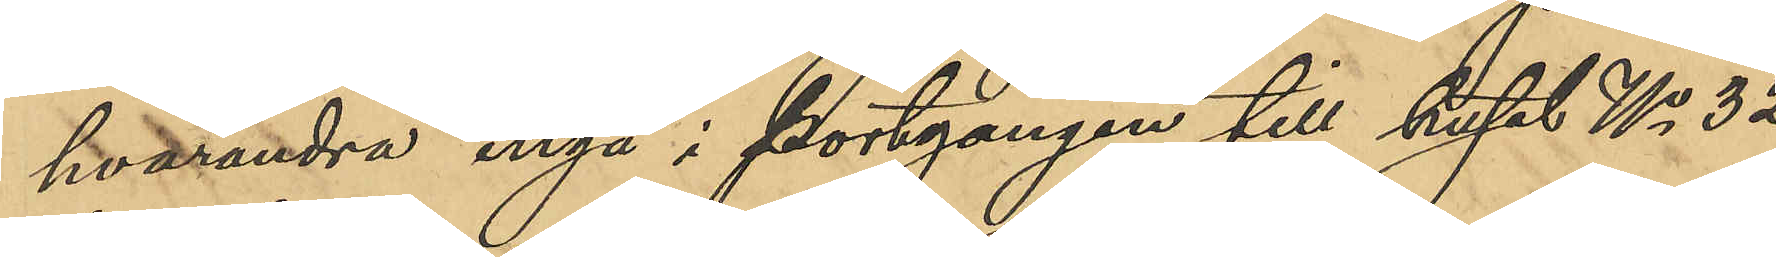hvarandra ingå i portgången till huset No 32
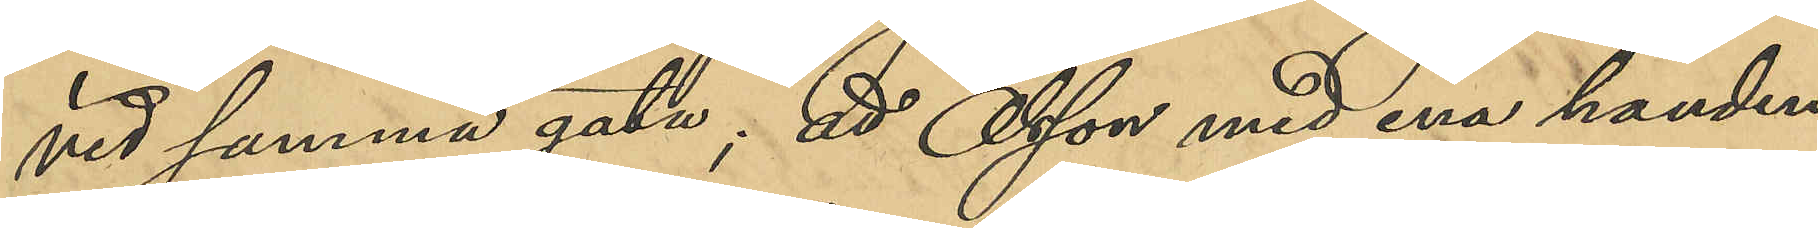vid samma gata; att Olsson med ena handen
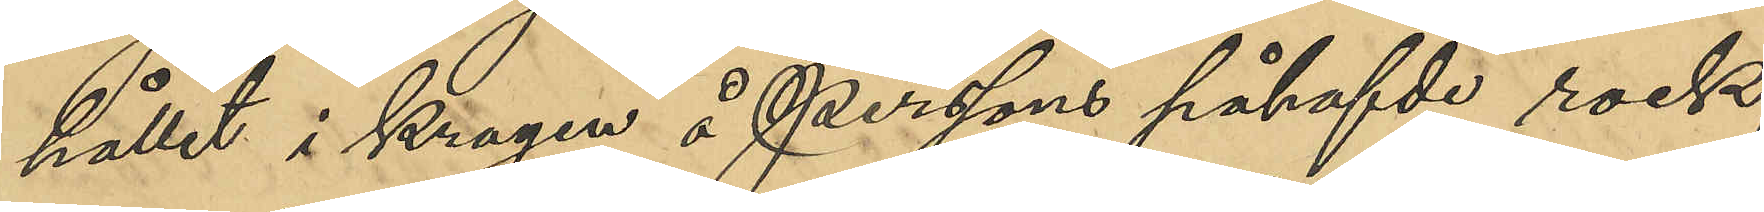hållit i kragen å Perssons påhafvde rock;
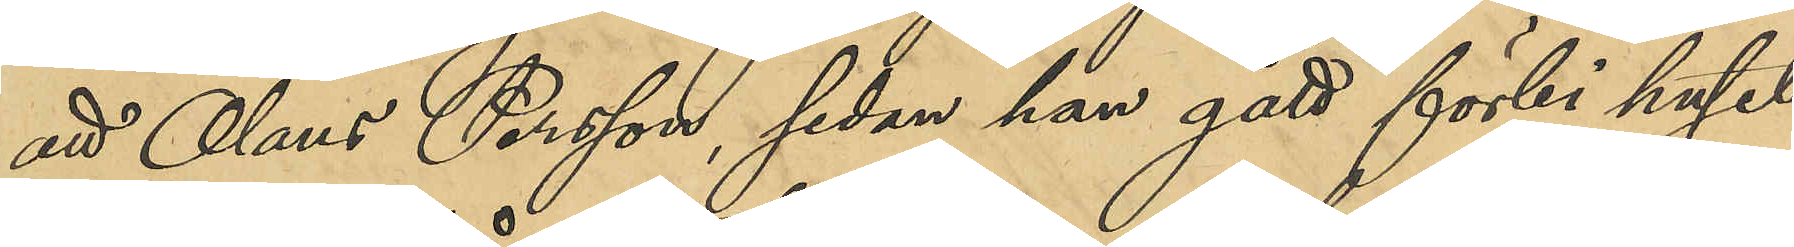att Olaus Persson, sedan han gått förbi huset
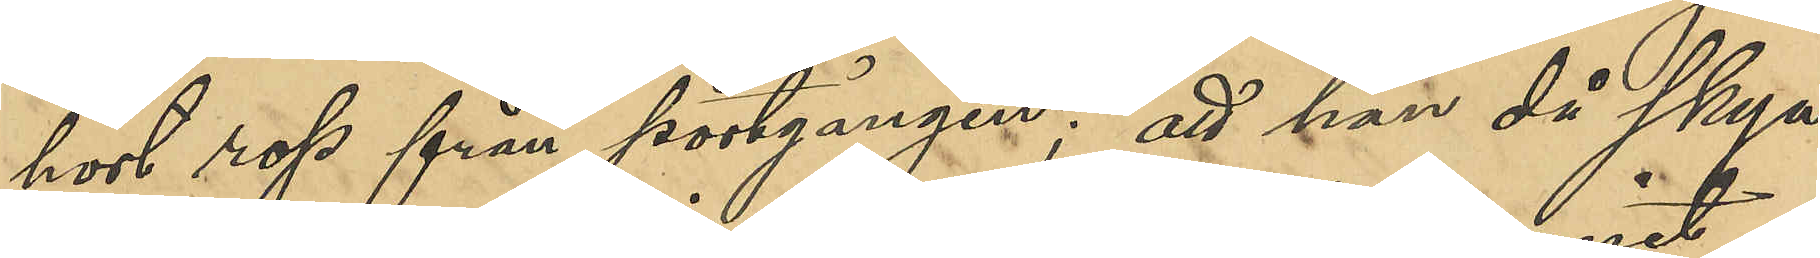hört rop från portgången; att han då skyn¬
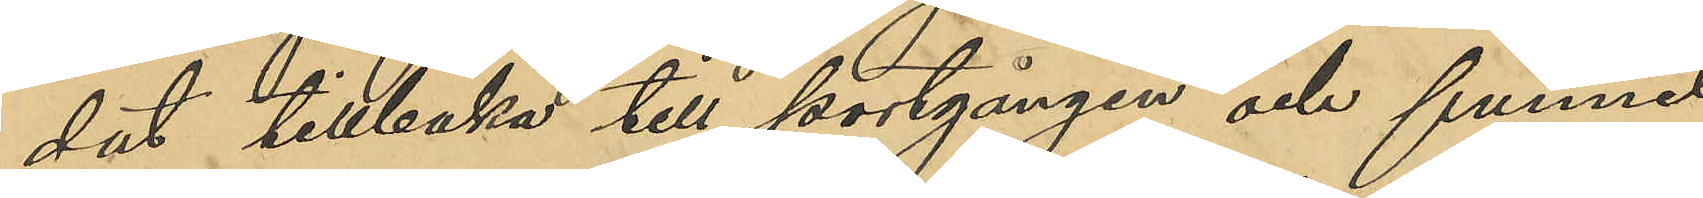dat tillbaka till portgången och funnit
